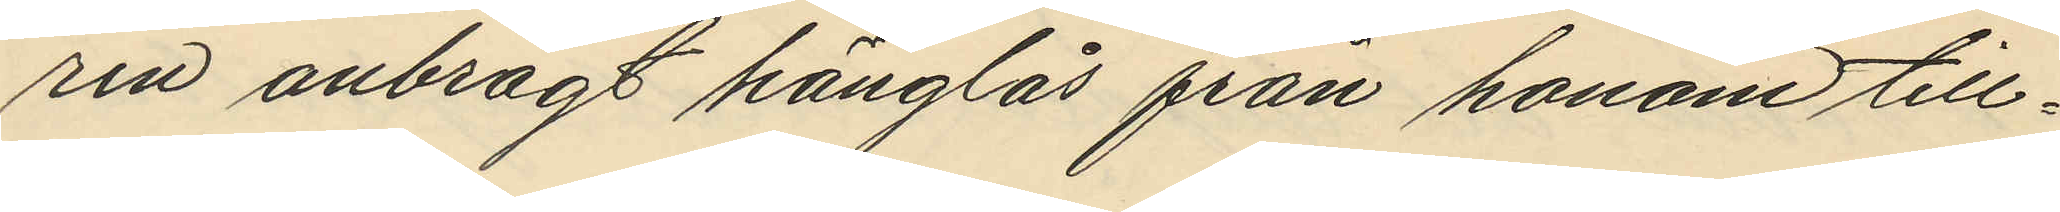ren anbragt hänglås från honom till¬
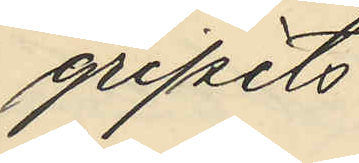gripits
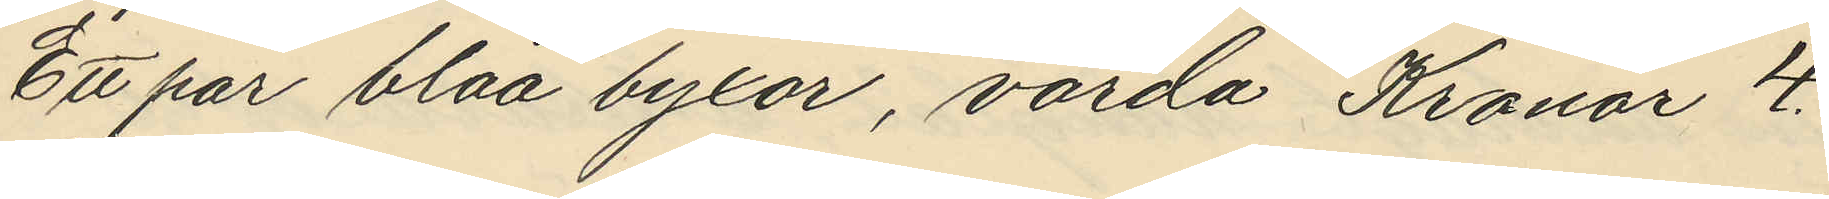Ett par blåa byxor, värda Kronor 4.
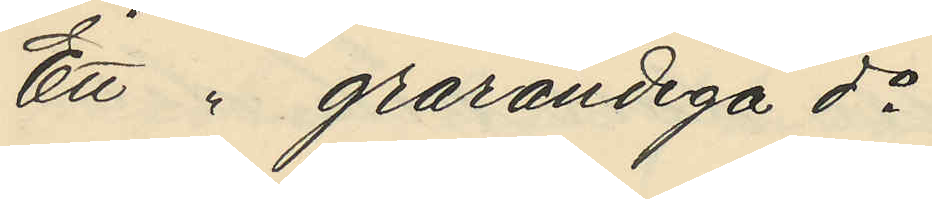Ett " grarandiga do
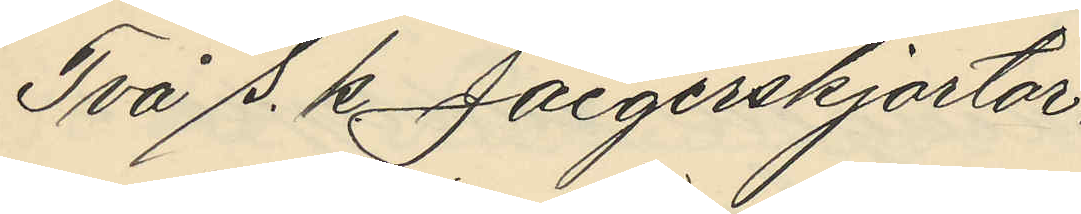Två s. k. Jaegerskjortor
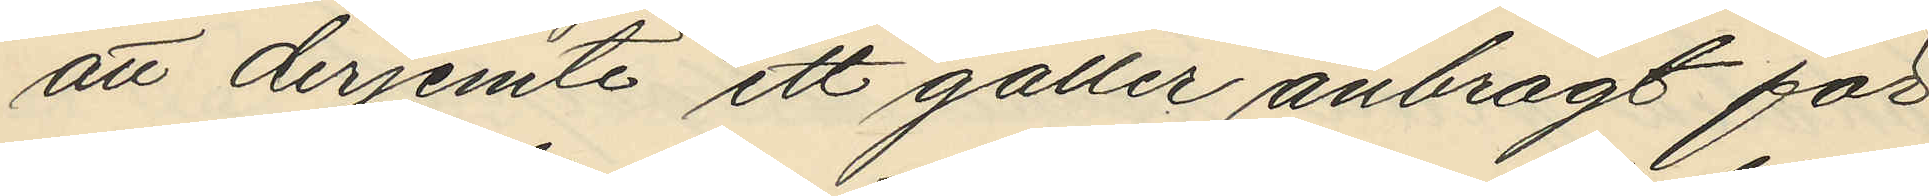att derjemte ett galler anbragt för
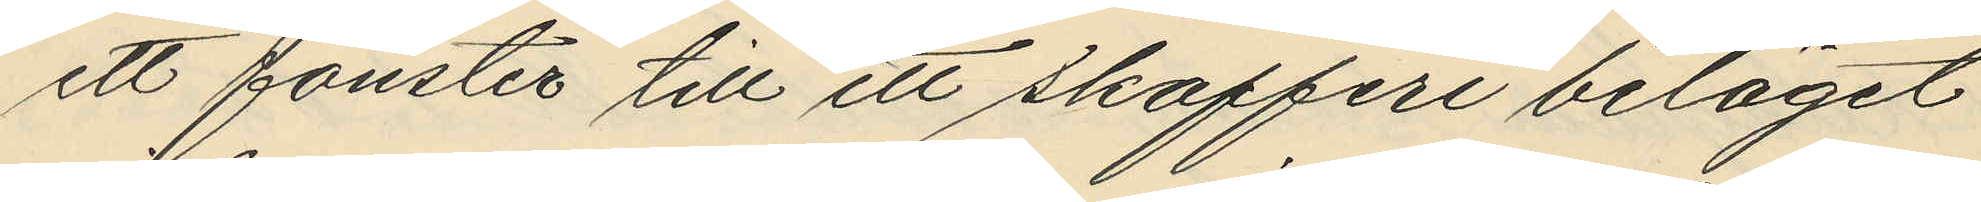ett fönster till ett skafferi beläget
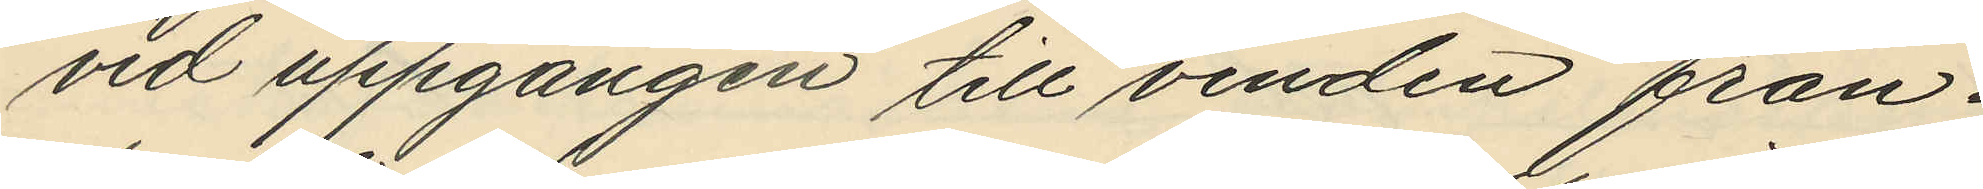vid uppgången till vinden från¬
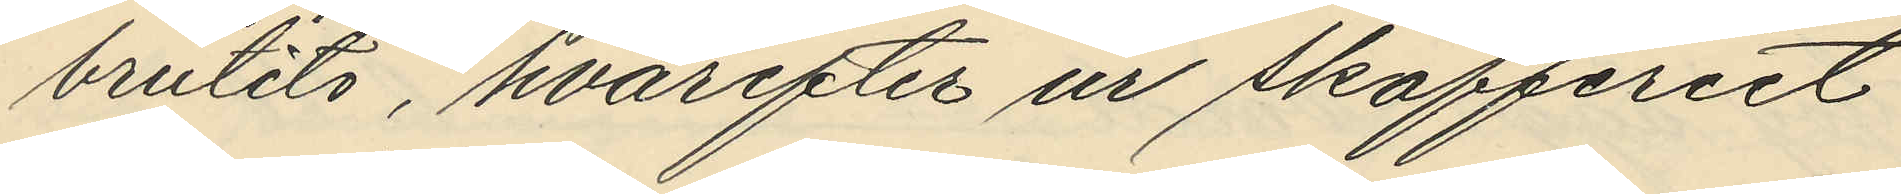brutits, hvarefter ur skafferiet
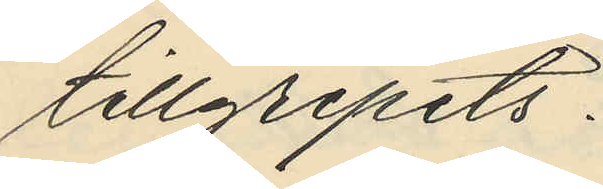tillgripits:
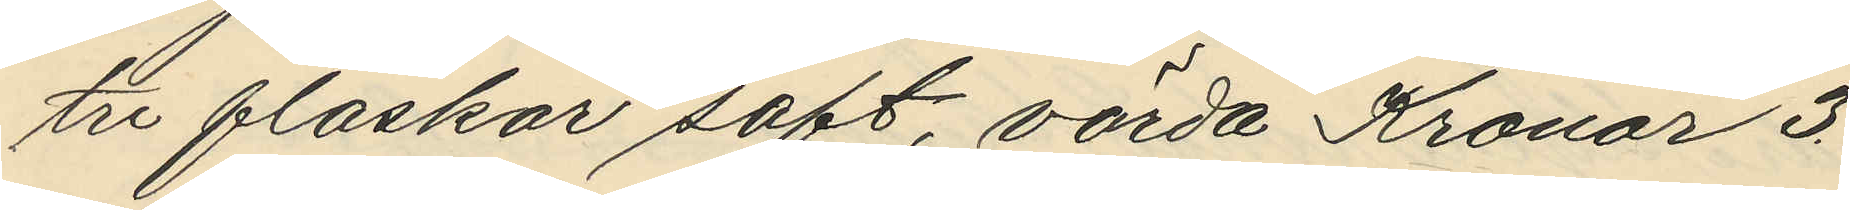tre flaskor saft, värda Kronor 3.
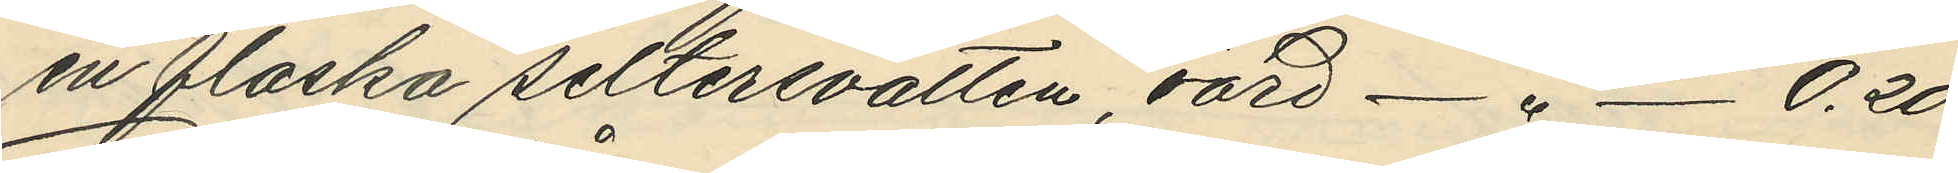en flaska seltersvatten, värd - " - 0.20
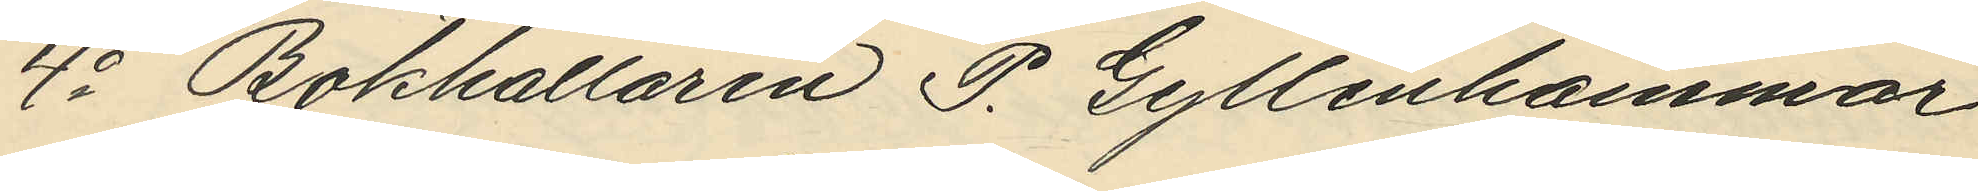4o Bokhållaren P. Gyllenhammar
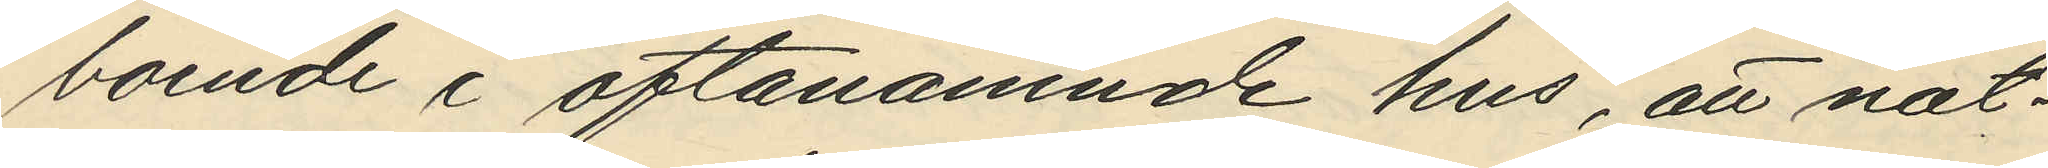boende i oftanämnde hus att nat¬
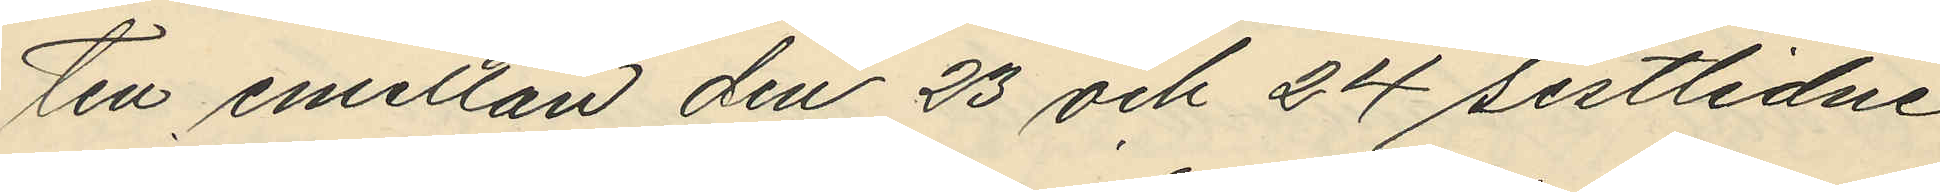ten emellan den 23 och 24 sistlidne
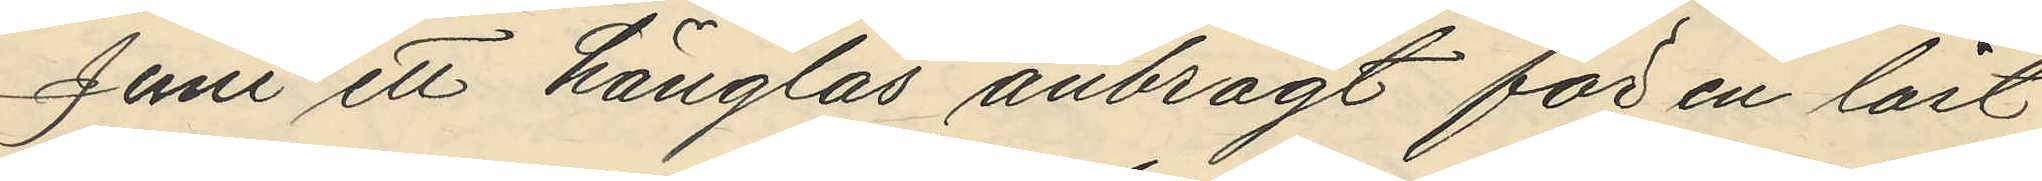Juni ett hänglås anbragt för en låst
